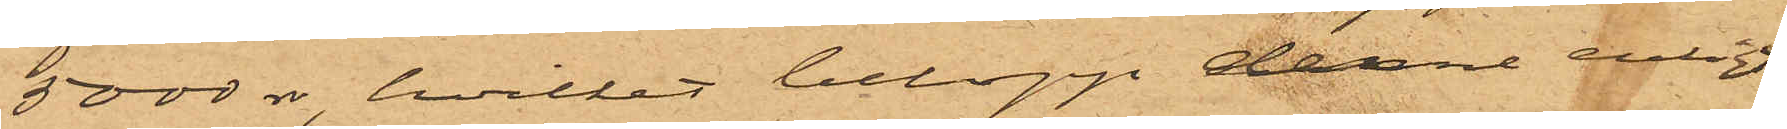5000 rdr, hvilket belopp denne enligt
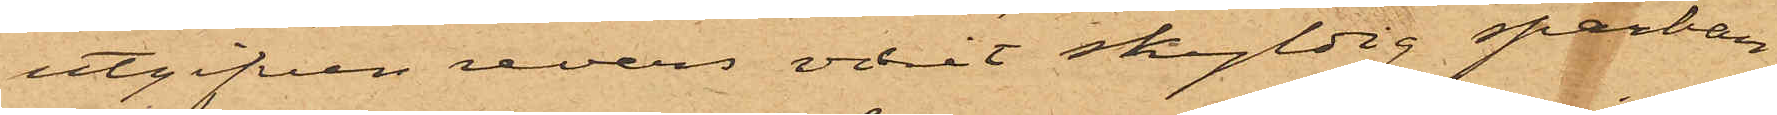utgifven revers varit skyldig sparban¬
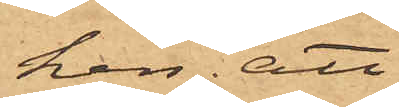ken; att
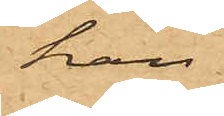han
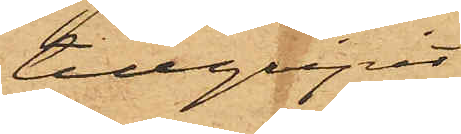tillgripit
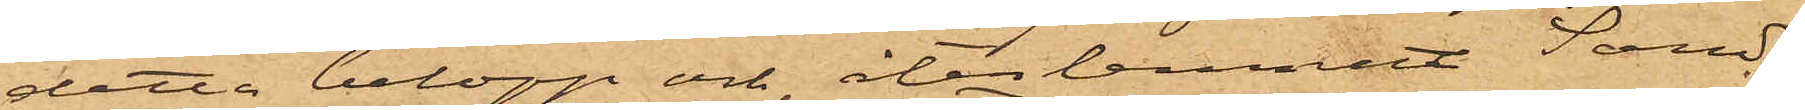detta belopp och återlemnat Sand¬
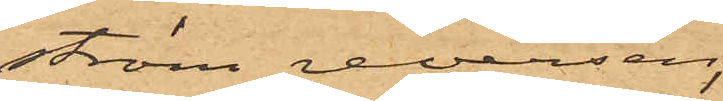ström reversen,
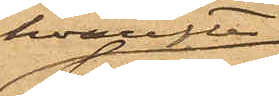hvarefter
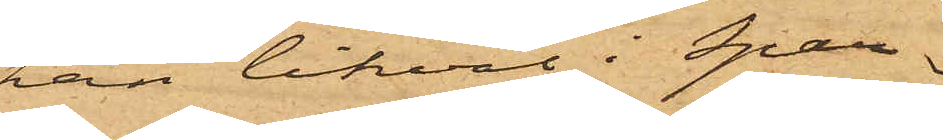han likväl i Spar¬
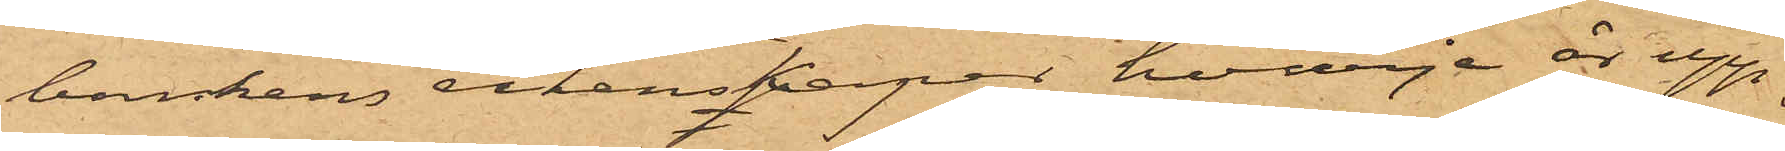bankens räkenskaper hvarje år upp¬
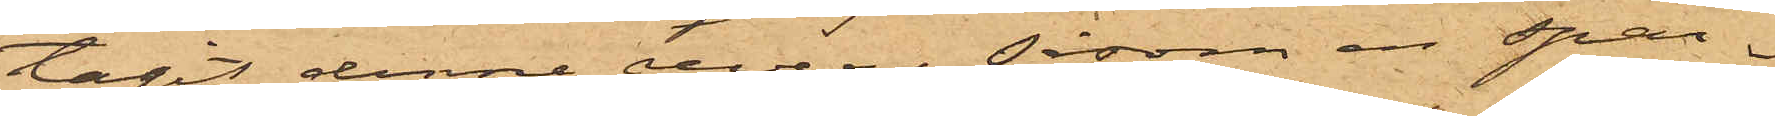tagit denne revers såsom en spar¬
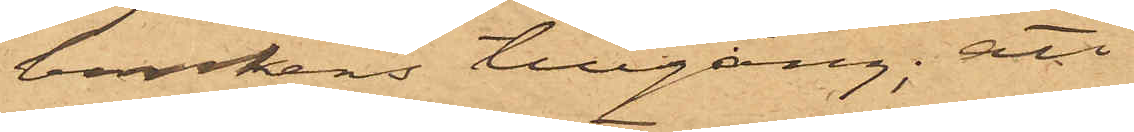bankens tillgång; att
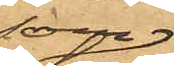som
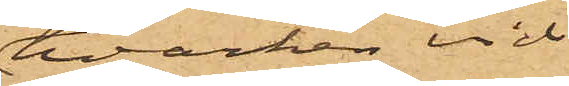hvarken vid
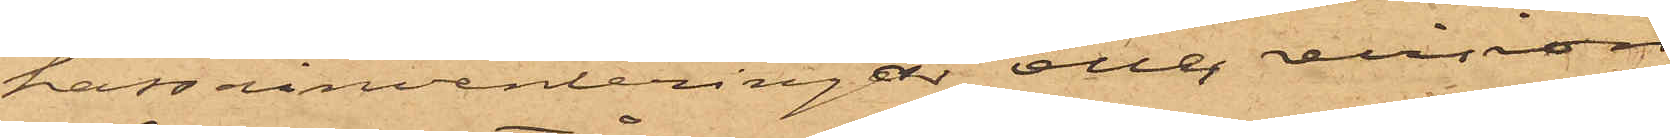kassainventeringar eller revision
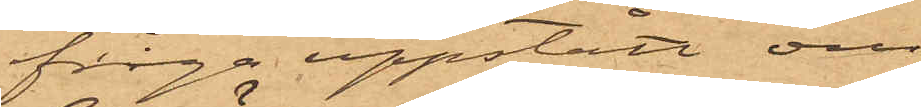fråga uppstått om
